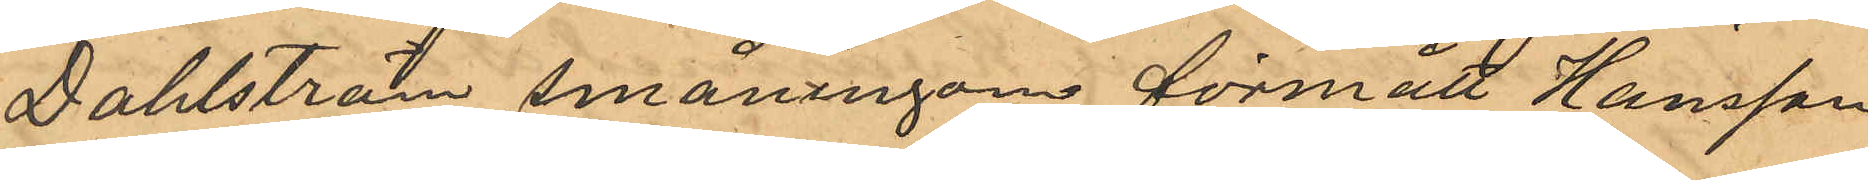Dahlström småningom förmått Hansson
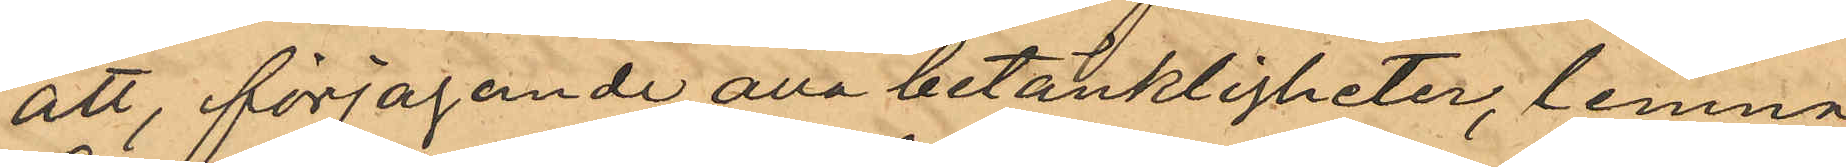att, förjagande alla betänkligheter, lemna
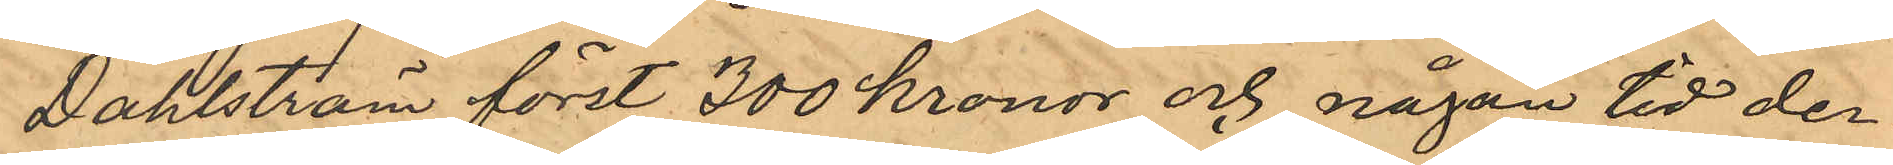Dahlström först 300 kronor och någon tid der¬
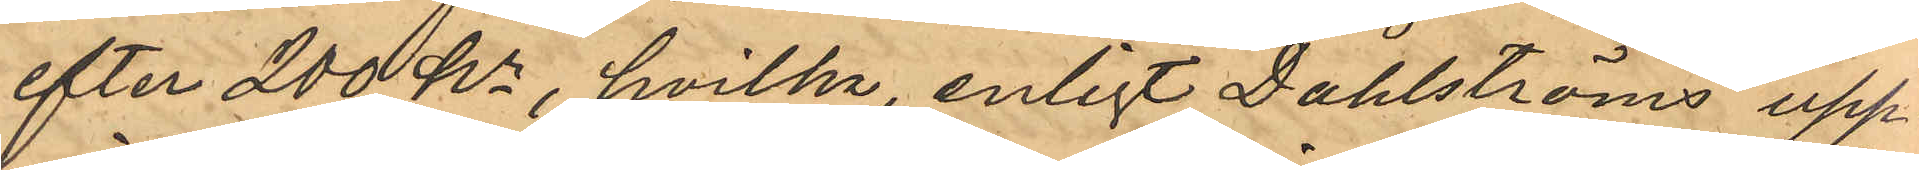efter 200 Kr, hvilka enligt Dahlströms upp¬
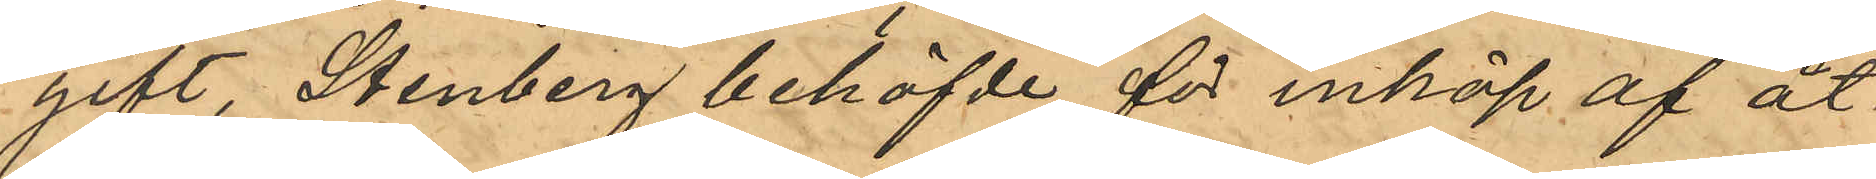gift Stenberg behöfvde för inköp af åt¬
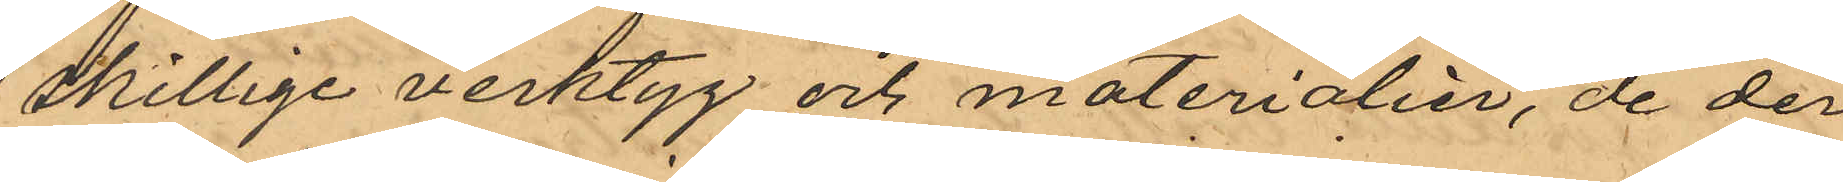skillige verktyg och materialier, de der
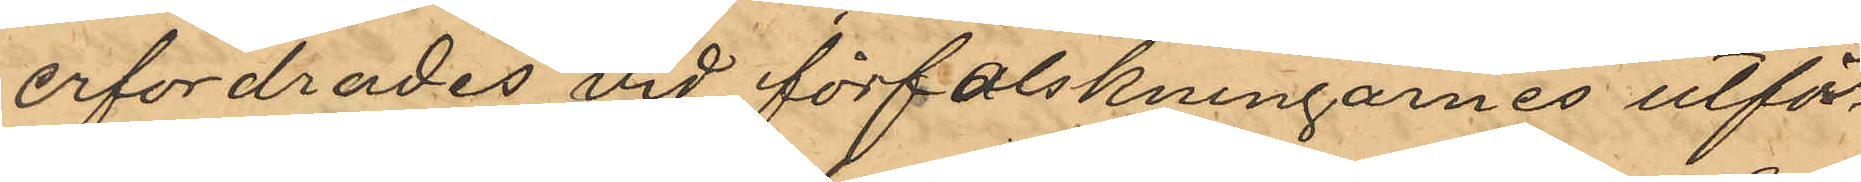erfordrades vid förfalskningarnes utför¬
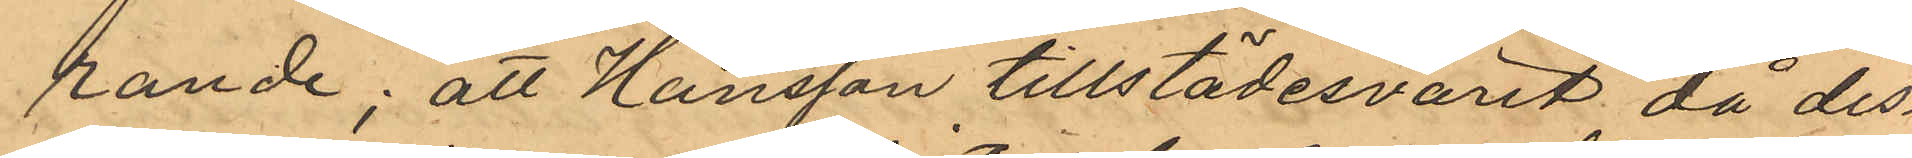rande; att Hansson tillstädesvarit då des¬
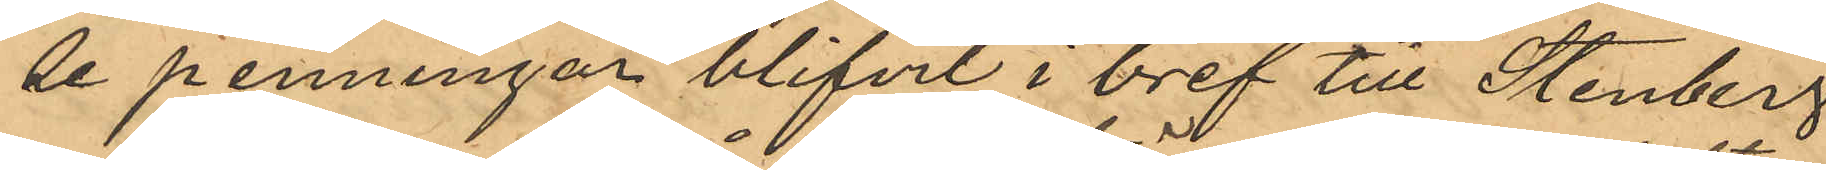de penningar blifvit i bref till Stenberg
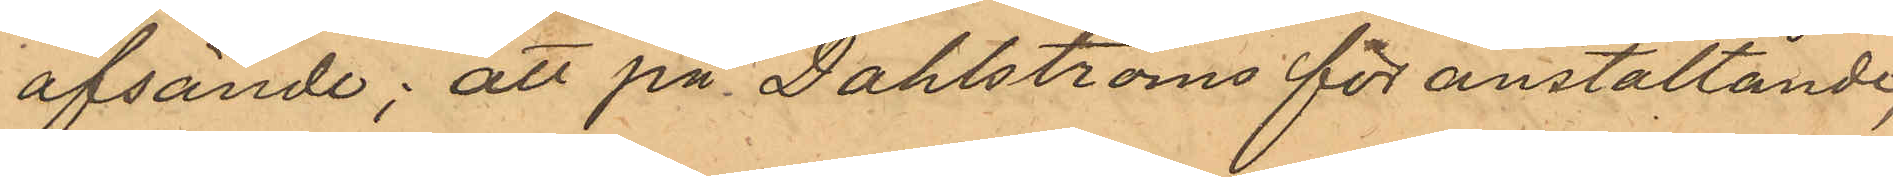afsände; att på Dahlströms föranstaltande,
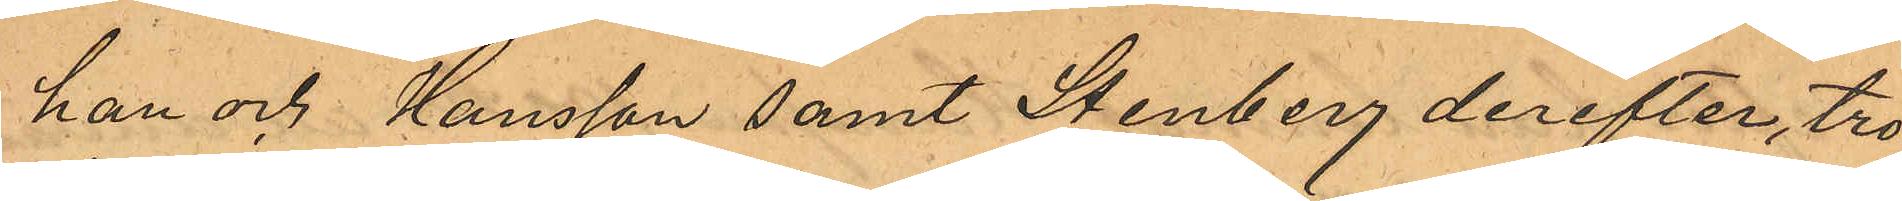han och Hansson samt Stenberg derefter, tro¬
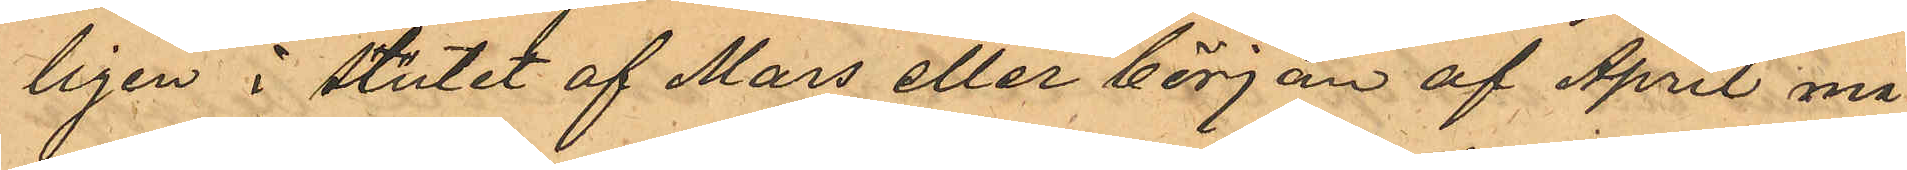ligen i slutet af Mars eller början af April må¬
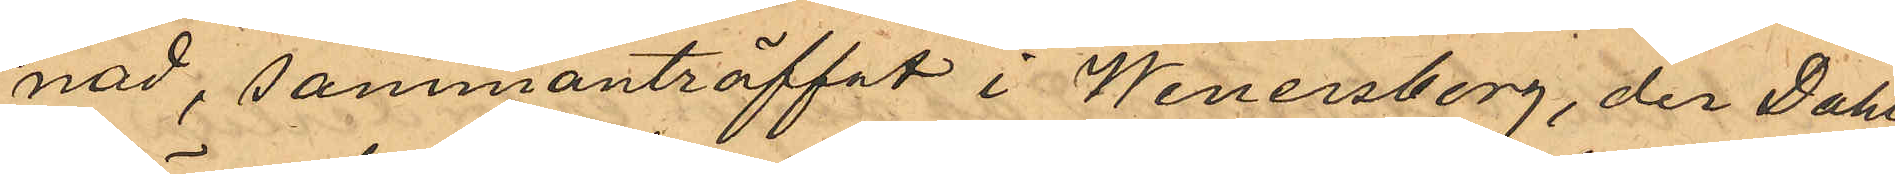nad, sammanträffat i Wenersborg, der Dahl¬
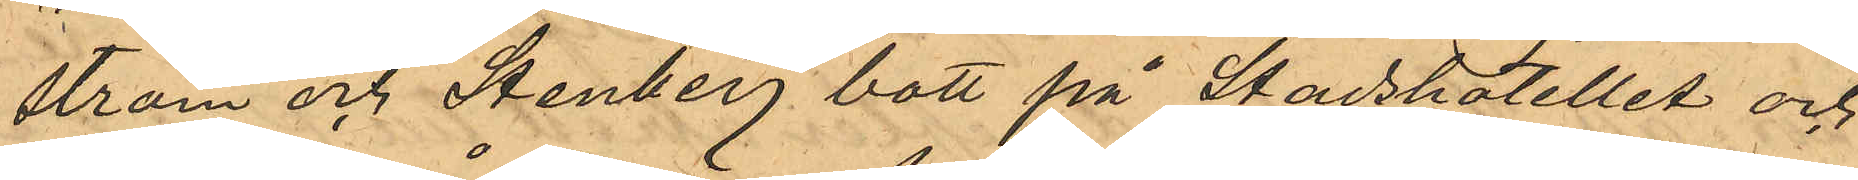ström och Stenberg bott på Stadshotellet och
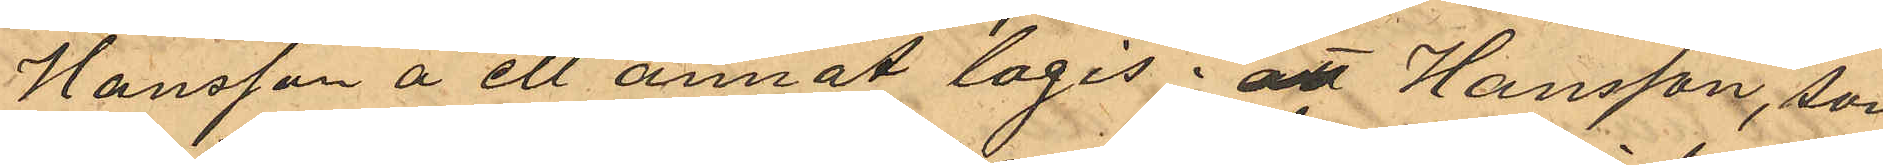Hansson å ett annat logis; att Hansson, som
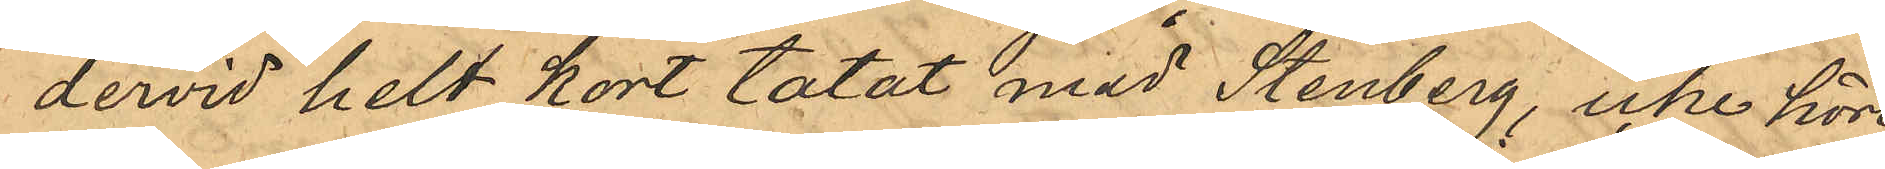dervid helt kort tatat med Stenberg, icke hört
